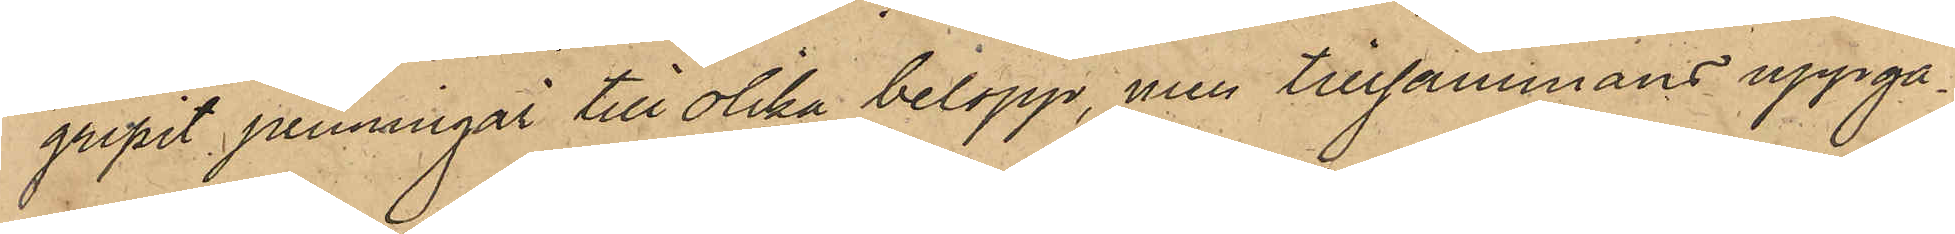gripit penninngar till olika belopp, men tillsammans uppgå¬
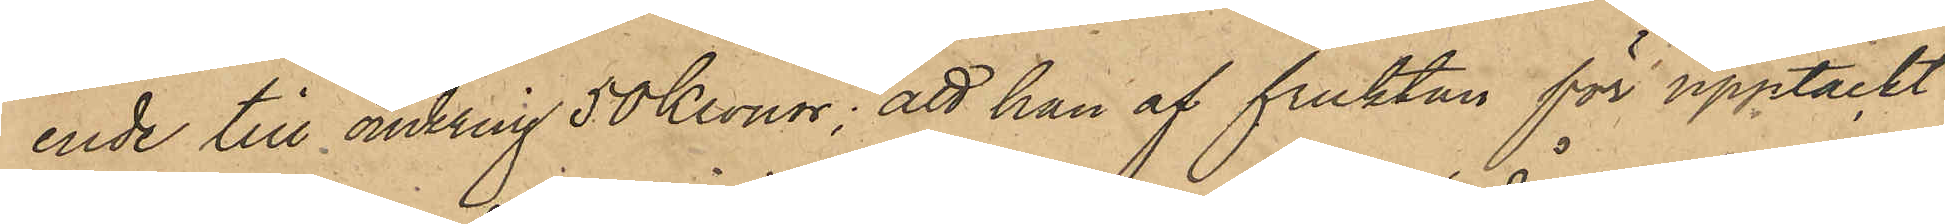ende till omkring 50 Kronor; att han af fruktan för upptäckt
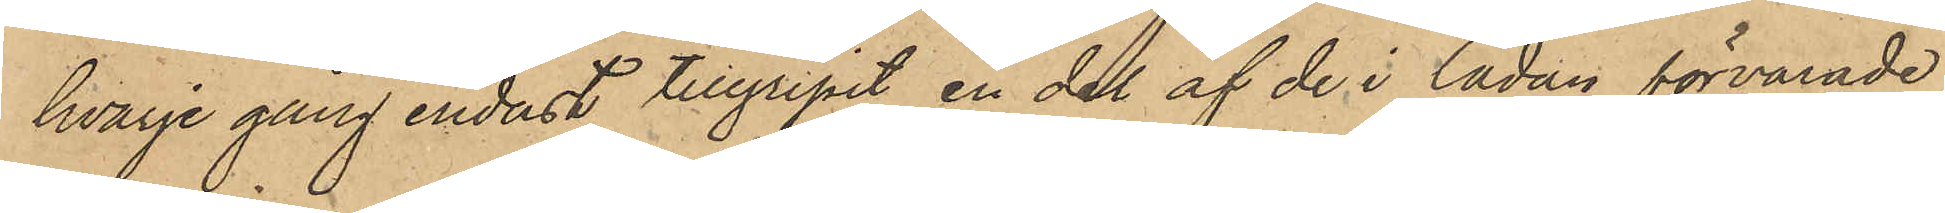hvarje gång endast tillgripit en del af de i lådan förvarade
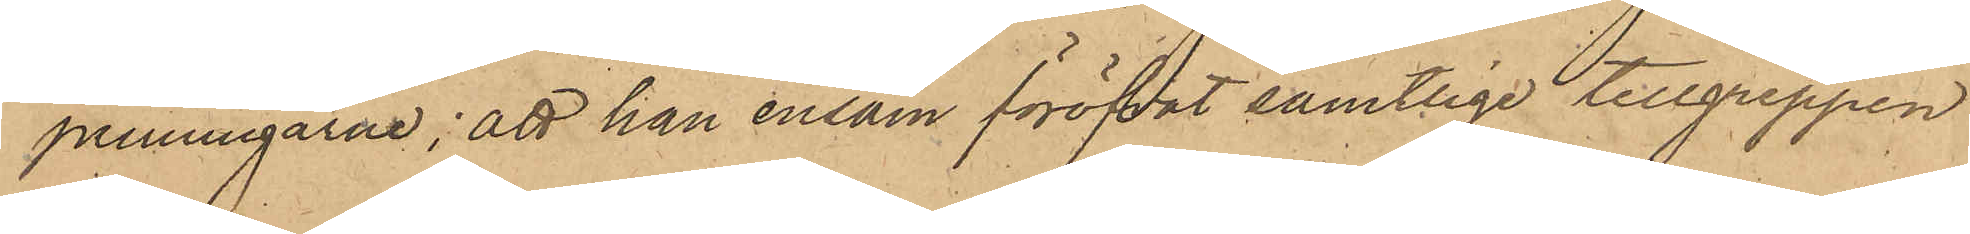penningarne; att han ensam föröfvat samtlige tillgreppen 
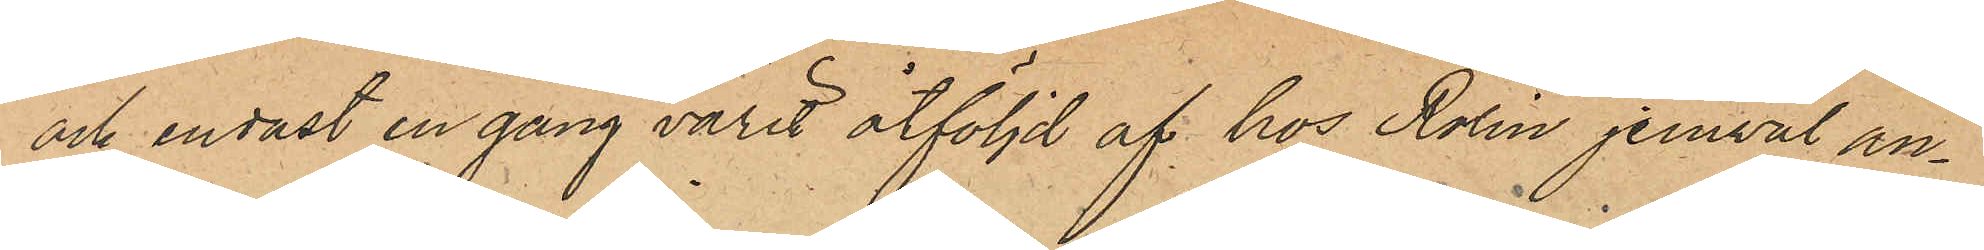och endast en gång varit åtföljd af hos Rolin jemväl an¬
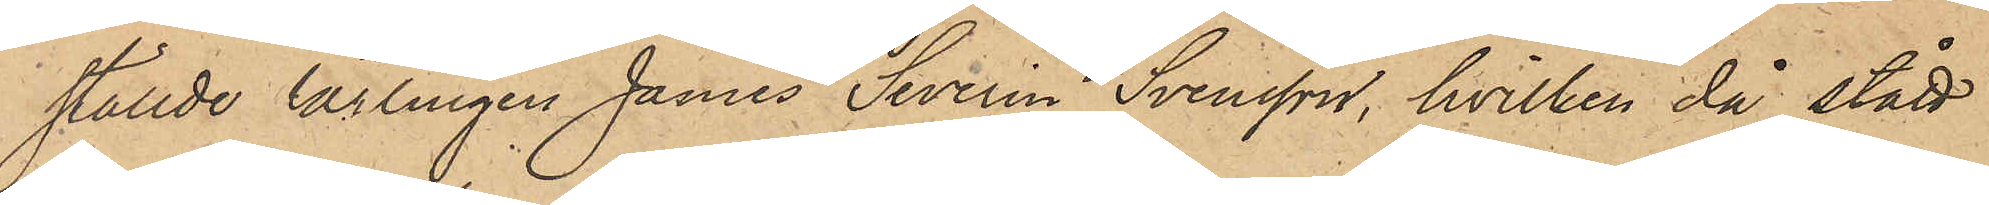ställde lärlingen James Severin Svensson, hvilken då stått
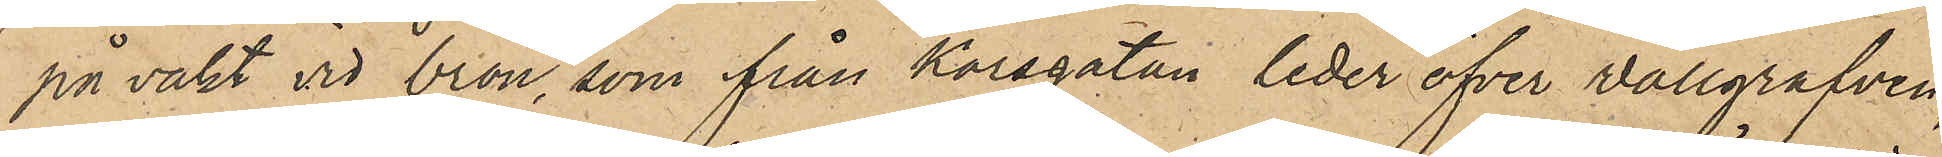på vakt vid bron, som från Korsgatan leder öfver Wallgrafven
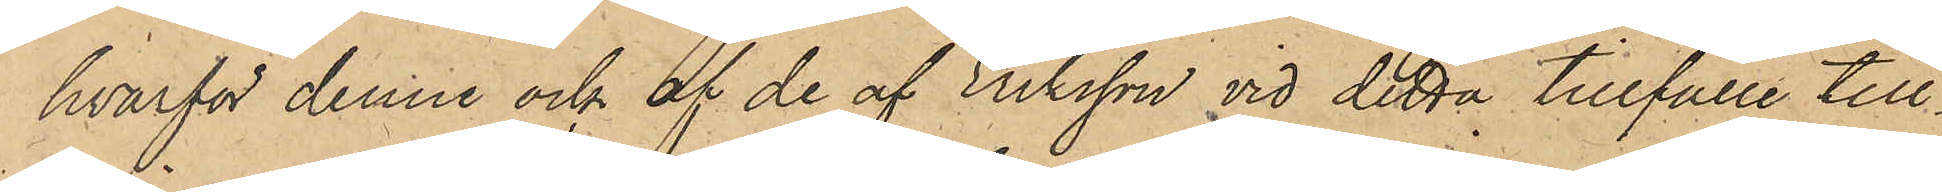hvarför denne och af de af Eriksson vid detta tillfälle till¬
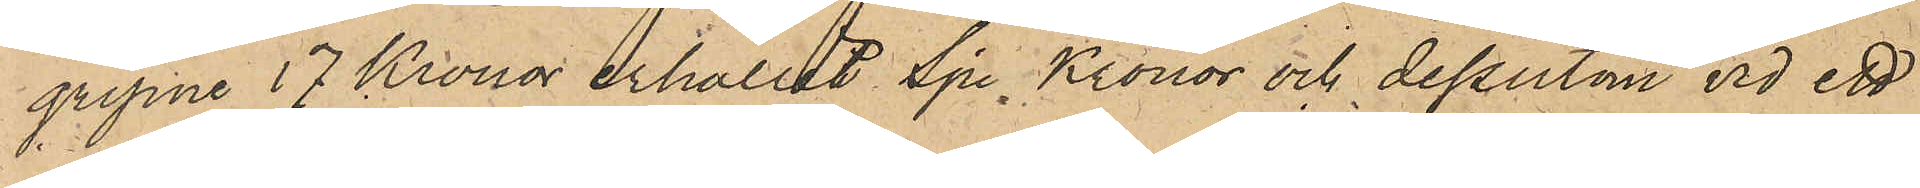gripne 17 Kronor erhållit Sju Kronor och dessutom vid ett
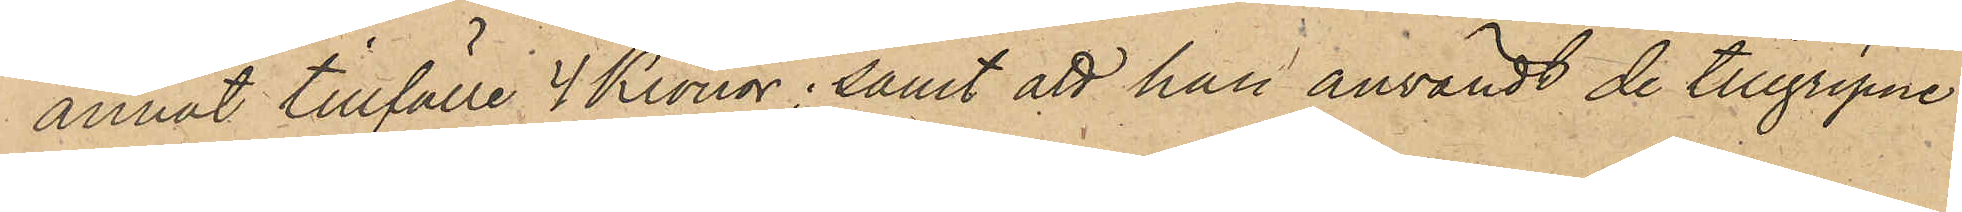annat tillfälle 4 Kronor; samt att han användt de tillgripne
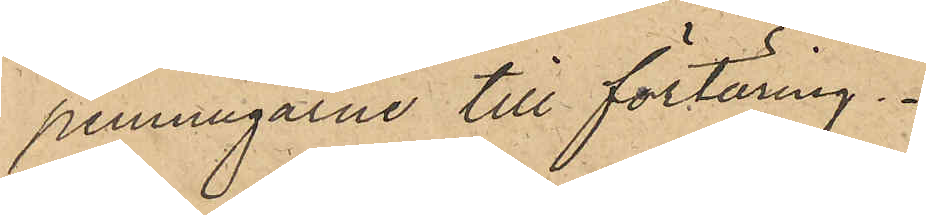penningarne till förtäring.
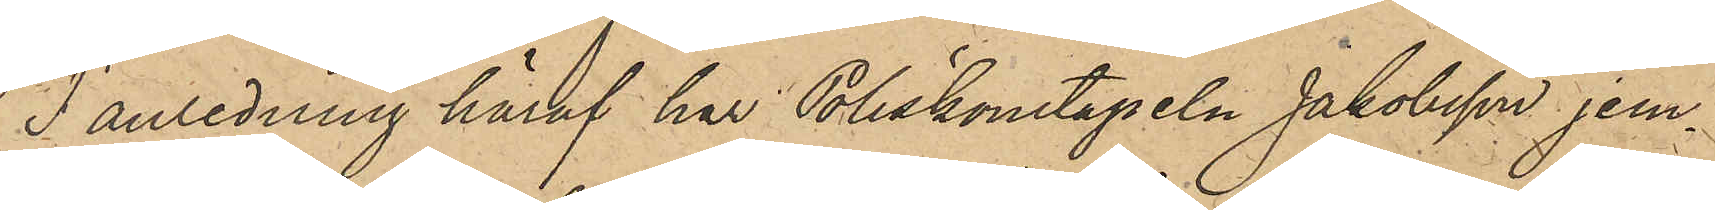I anledning häraf har Poliskonstapeln Jakobsson jem¬
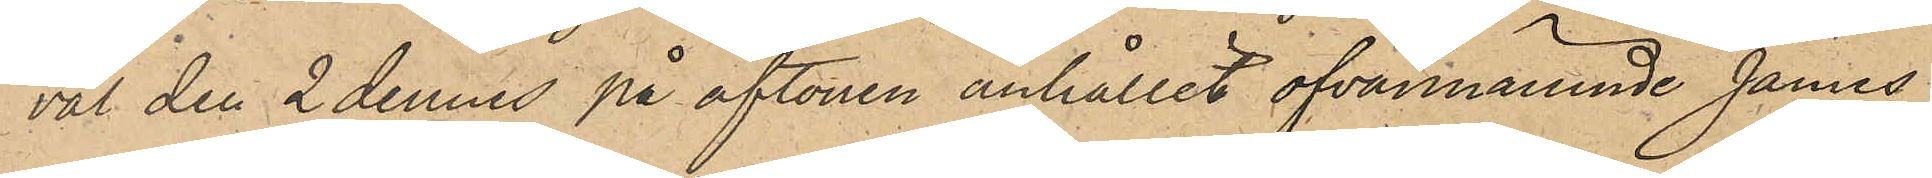väl den 2 dennes på aftonen anhållit ofvannämnde James
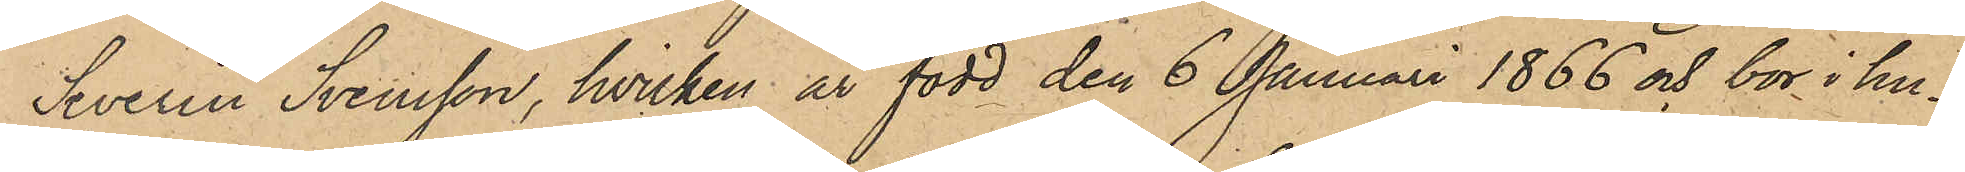Severin Svensson, hvilken är född den 6 Januari 1866 och bor i hu¬
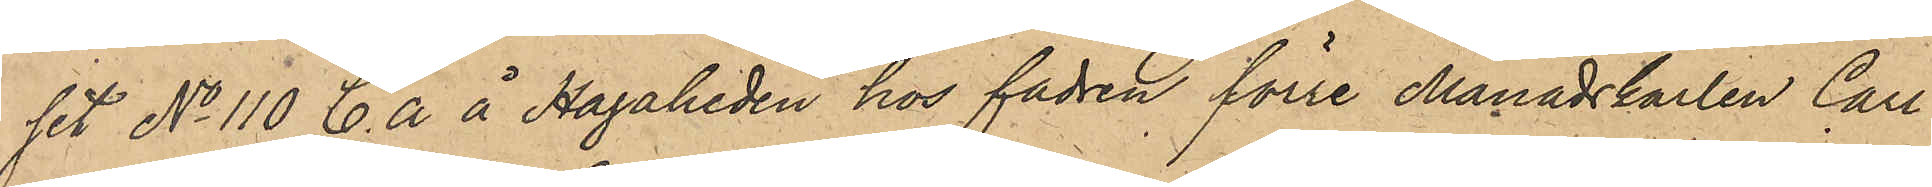set No 110 C. a å Hagaheden hos fadren förre Månadskarlen Carl
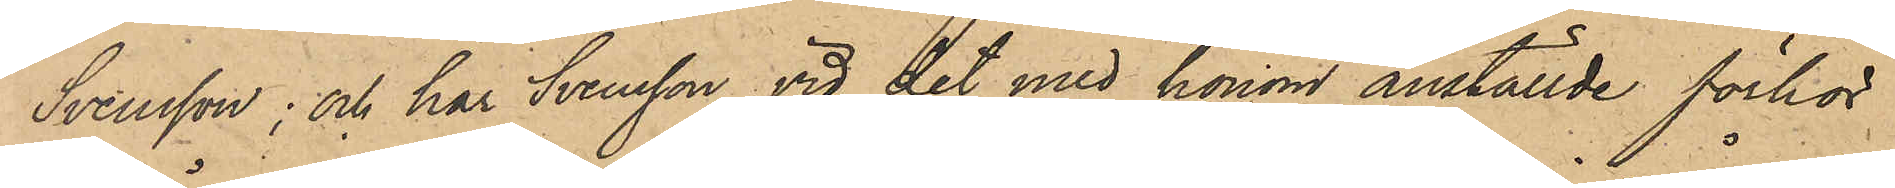Svensson; och har Svensson vid det med honom anställde förhör
